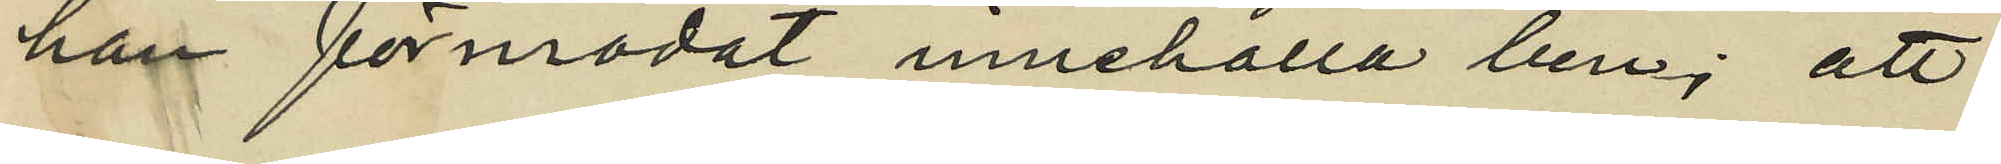han förmodat innehålla ben; att
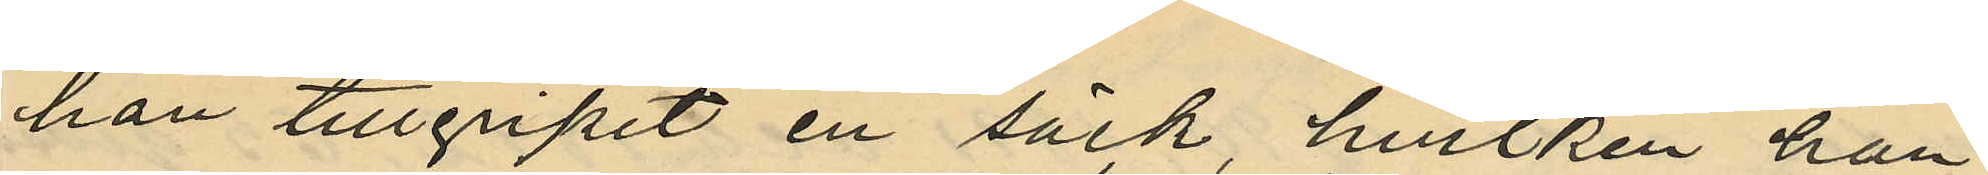han tillgripit en säck, hvilken han
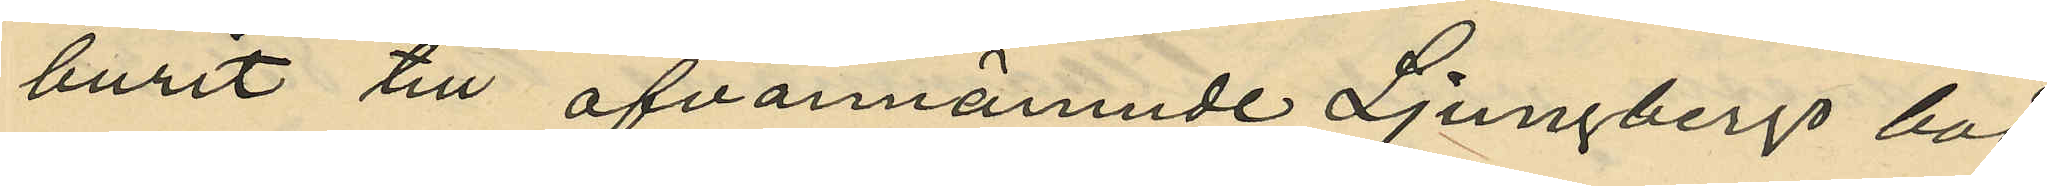burit till ofvannämnde Ljungbergs bod
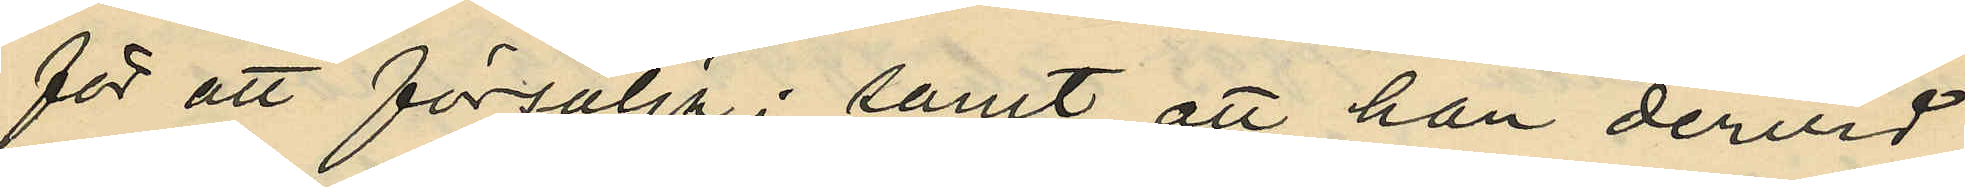för att försälja; samt att han dervid
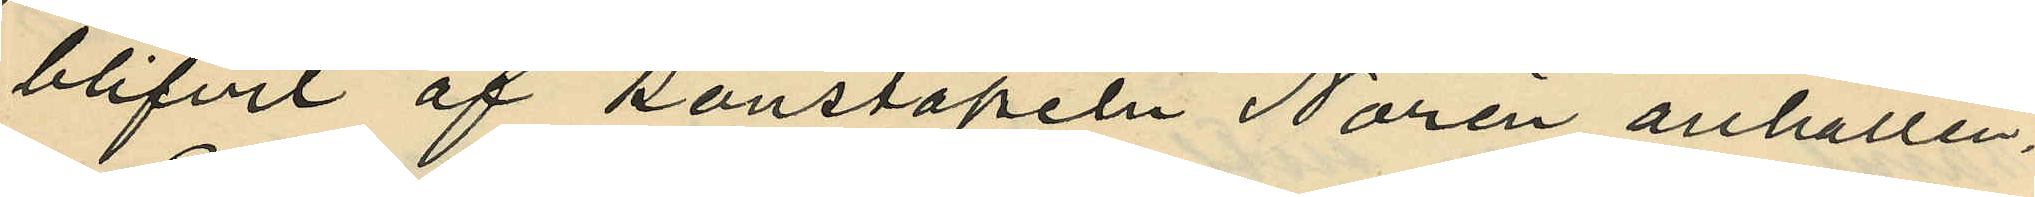blifvit af konstapeln Norén anhållen.
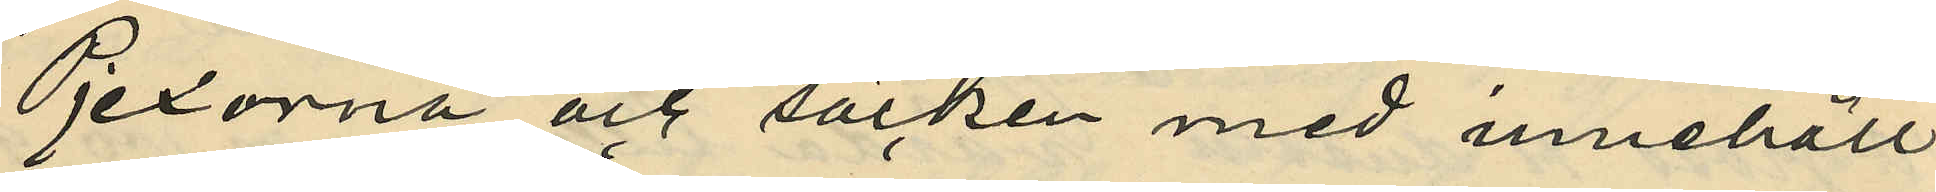Pjexorna och säcken med innehåll
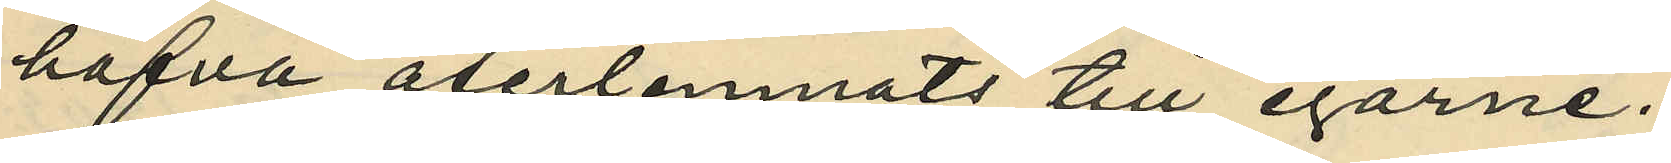hafva återlemnats till egarne.
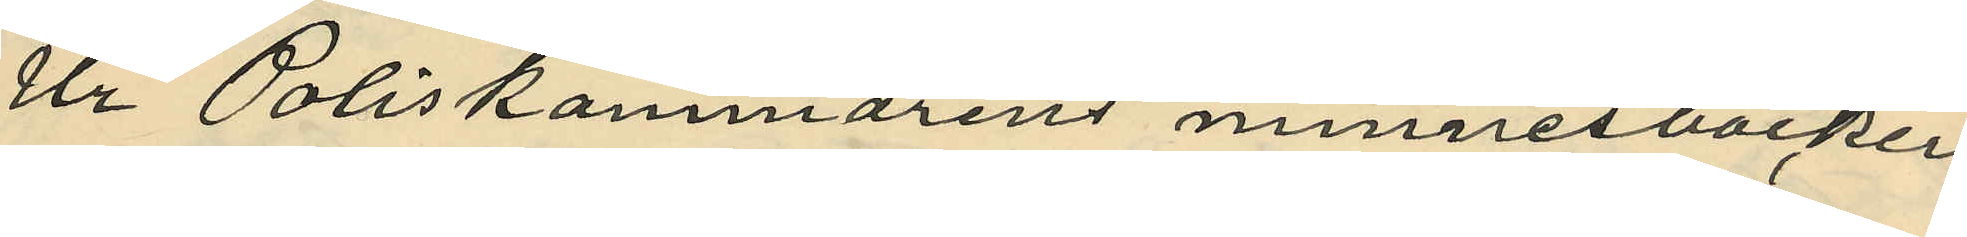Ur Poliskammarens minnesböcker
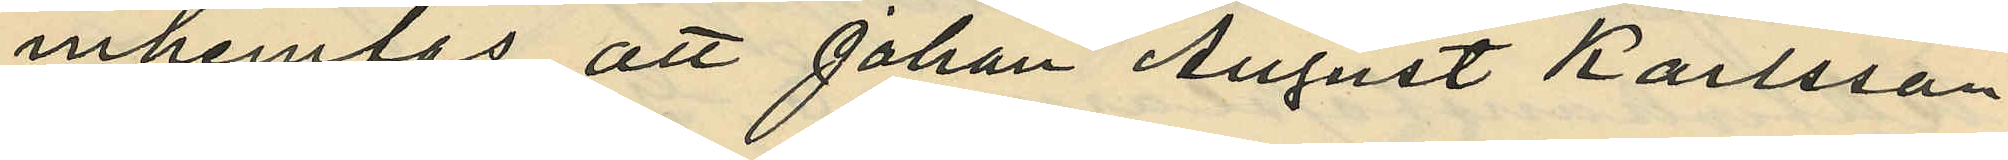inhemtas att Johan August Karlsson
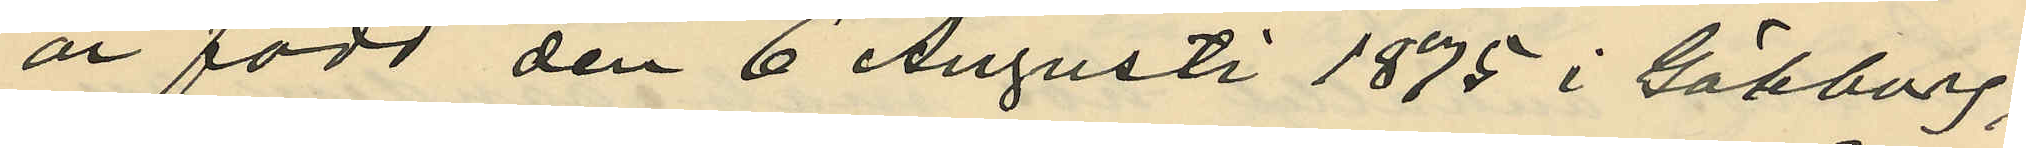är född den 6 Augusti 1875 i Göteborg;
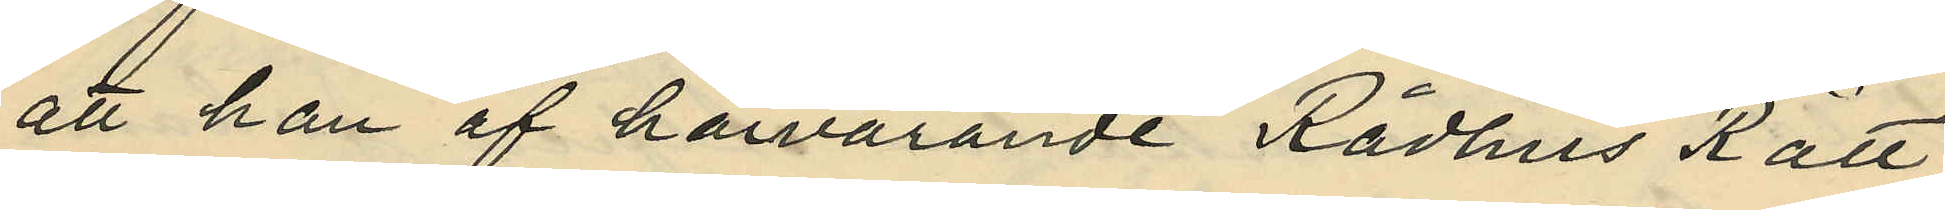att han af härvarande Rådhus Rätt
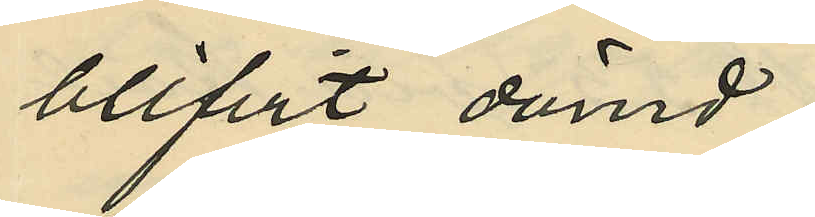blifvit dömd:
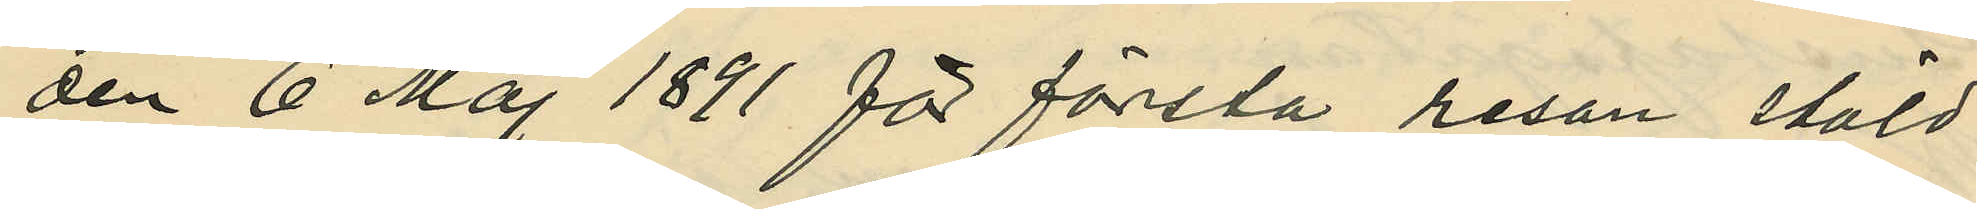den 6 Maj 1891 för första resan stöld
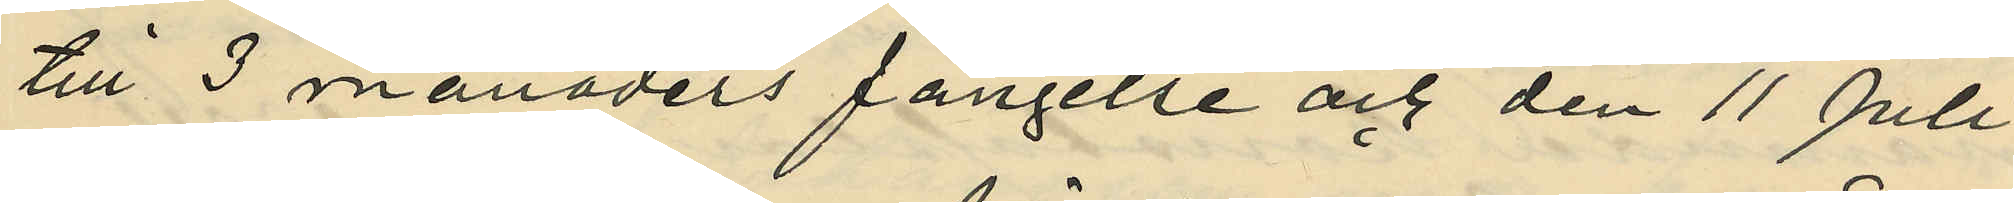till 3 månaders fängelse och den 11 Juli
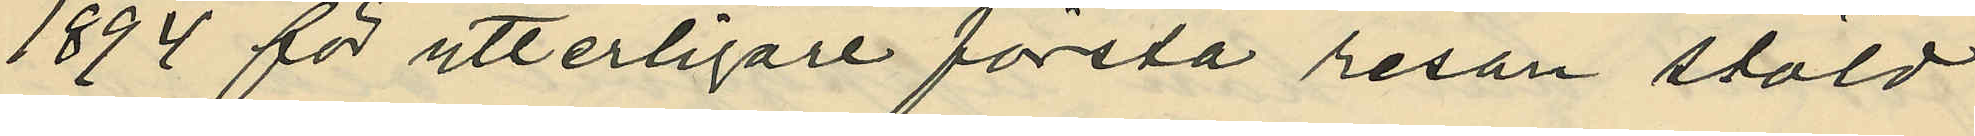1894 för ytterligare första resan stöld
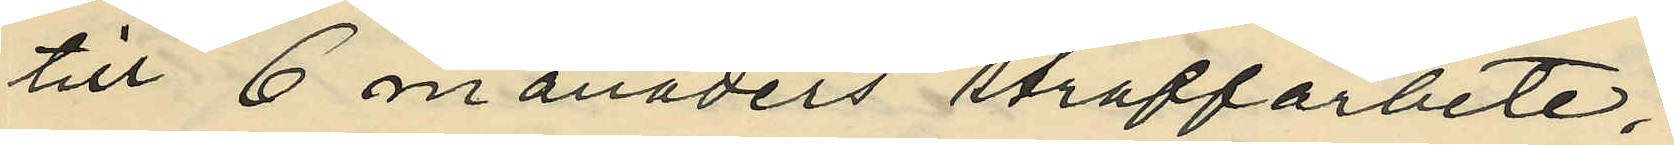till 6 månaders straffarbete;
